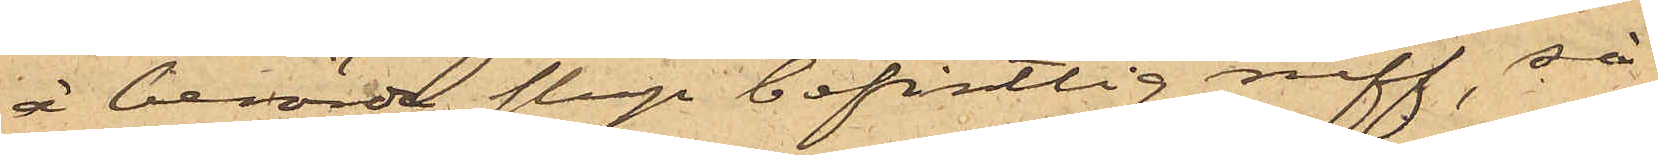å berörde slup befintlig ruff, så
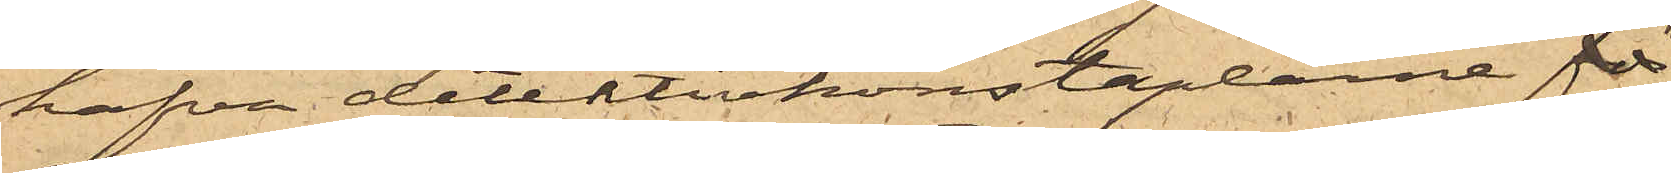hafva detektivkonstaplarne
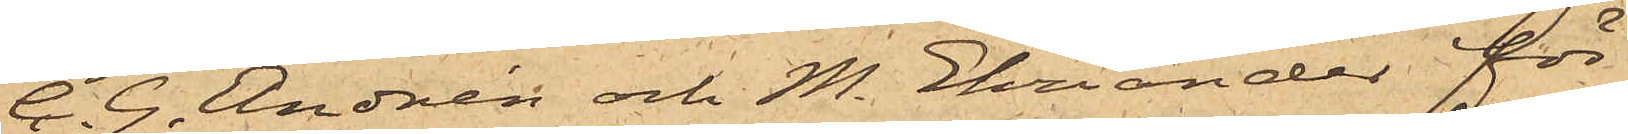C. G. Andrén och M. Ehriander för
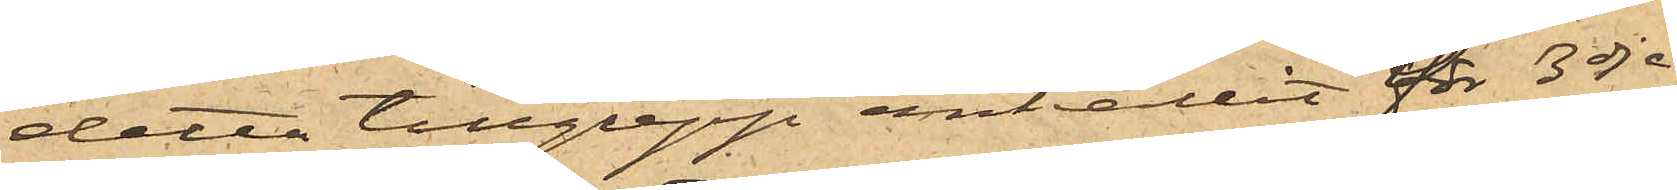detta tillgrepp anhållit för 3dje
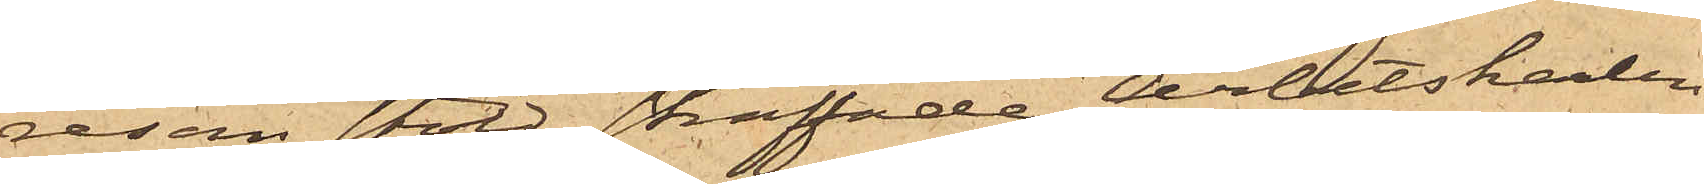resan stöld straffade arbetskarlen
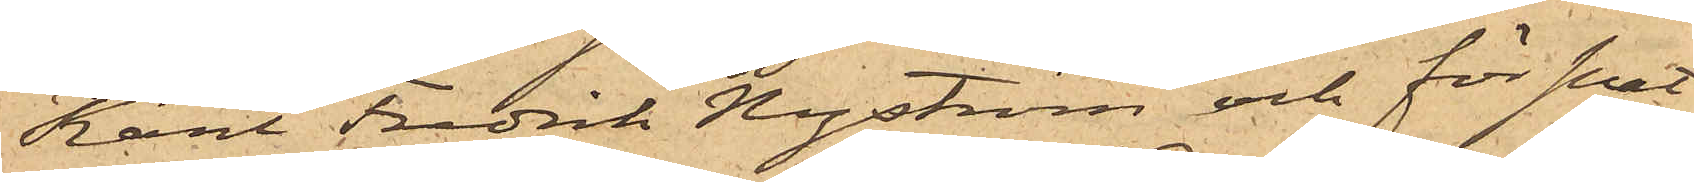Karl Fredrik Nyström och för snat¬
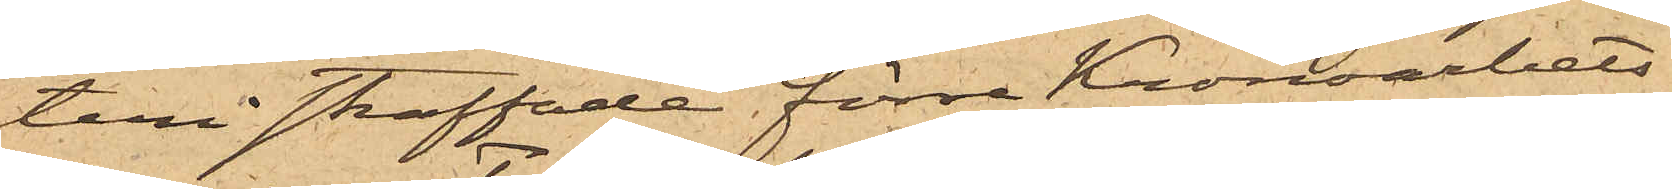teri straffade förre Kronoarbets¬
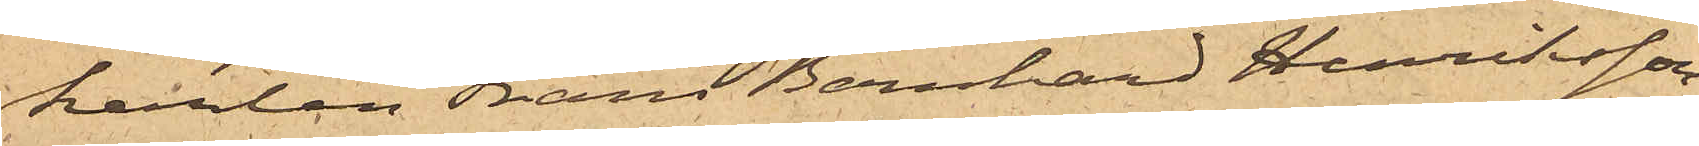karlen Frans Bernhard Henriksson,
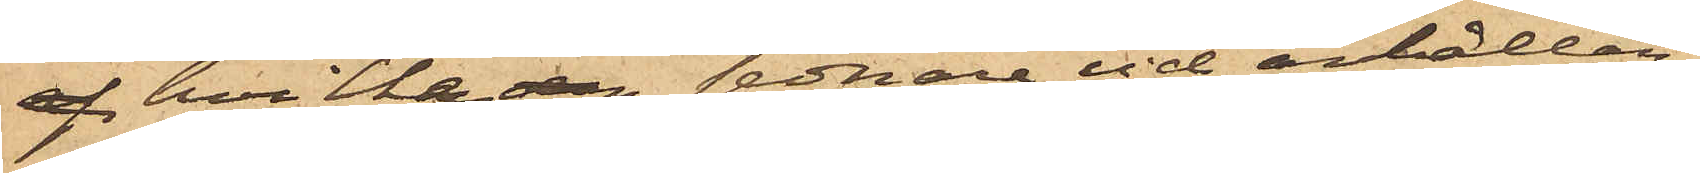hvilken sednare vid anhållan¬
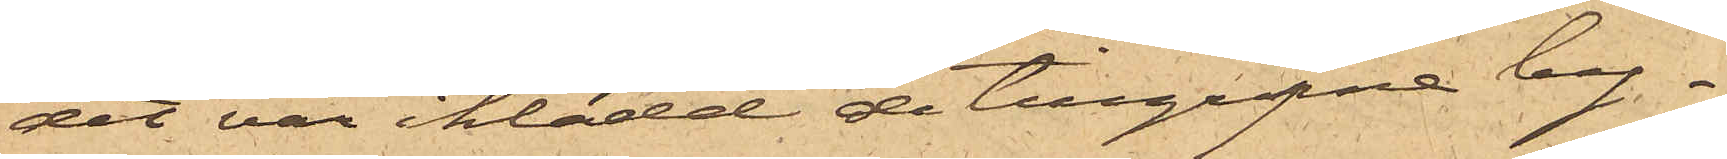det var iklädd de tillgripne by¬
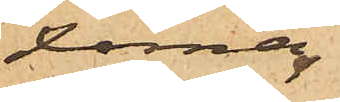xorna.
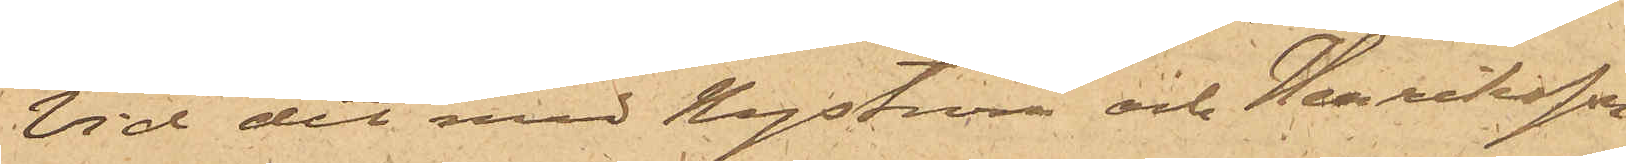Vid det med Nyström och Henriksson
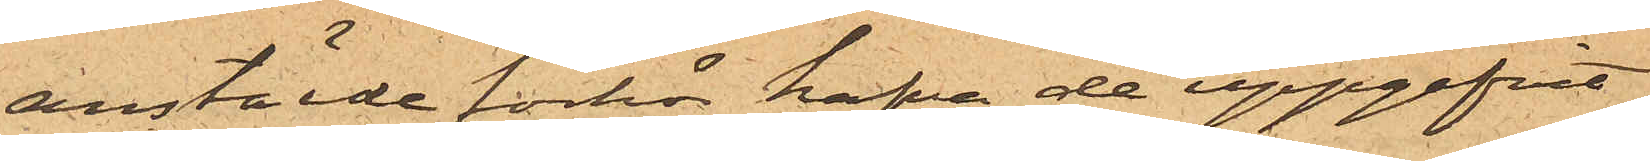anstälde förhör hafva de uppgifvit
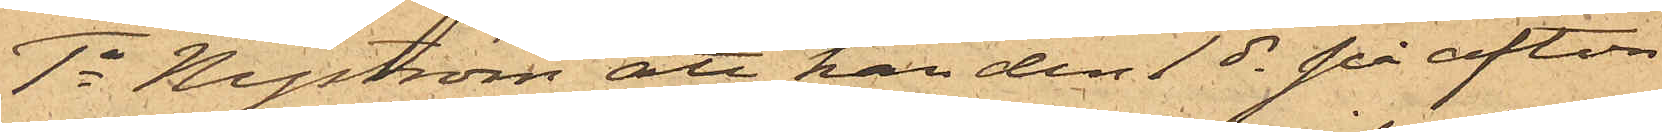1o Nyström att han den 1ds på afton
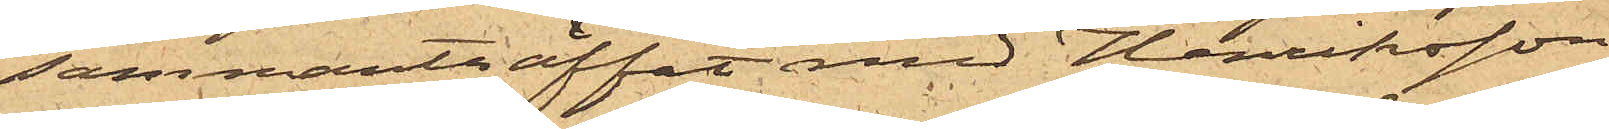sammanträffat med Henriksson
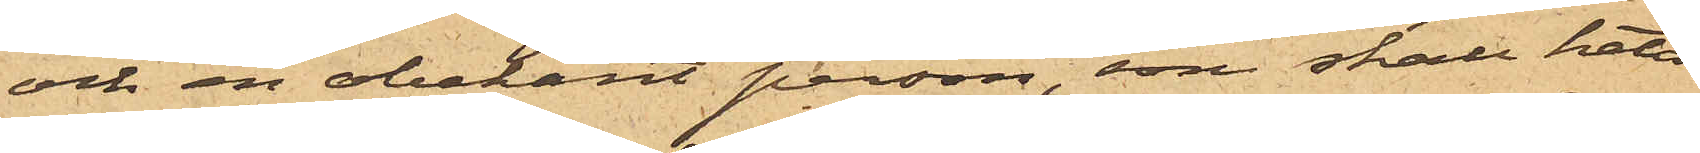och en obekant person, som skall heta
